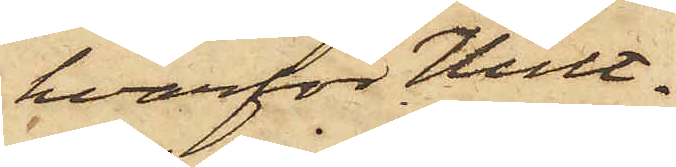hvarför Hult¬
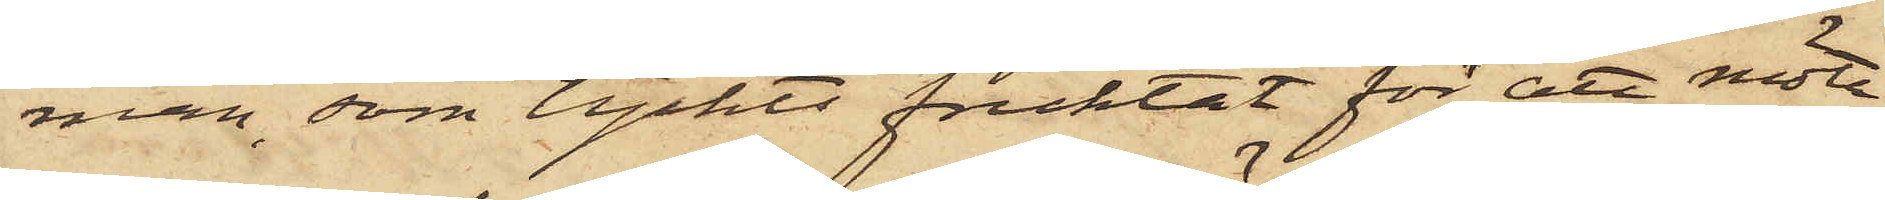man, som tyckts fruktat för att möta
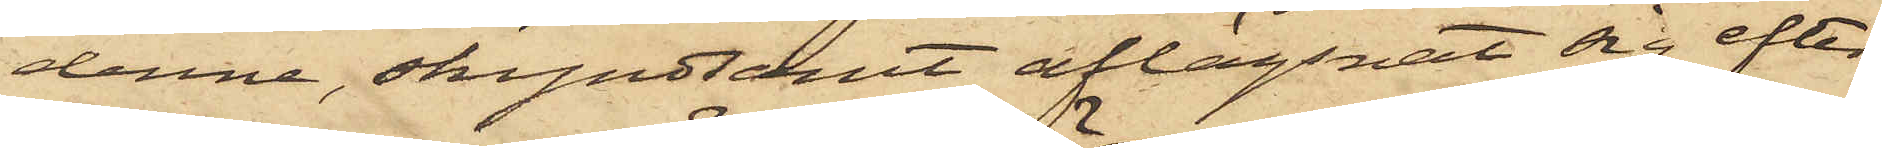denne, skyndsamt aflägsnat sig efter
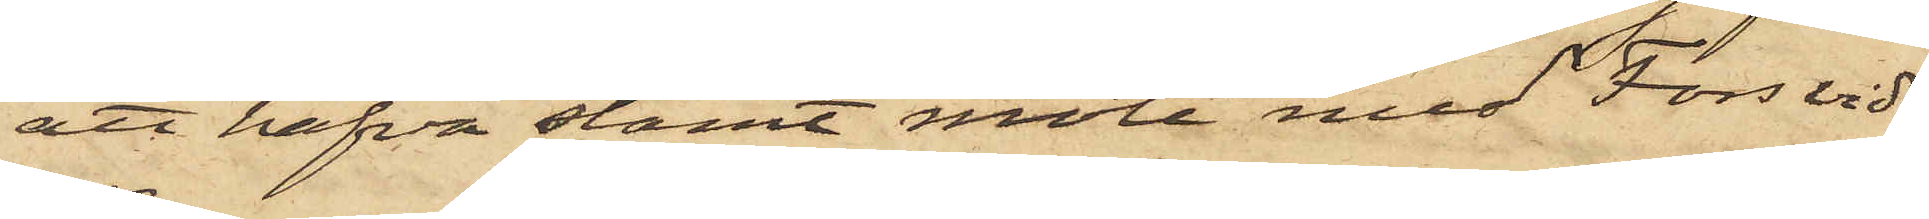att hafva stämt möte med Fors vid
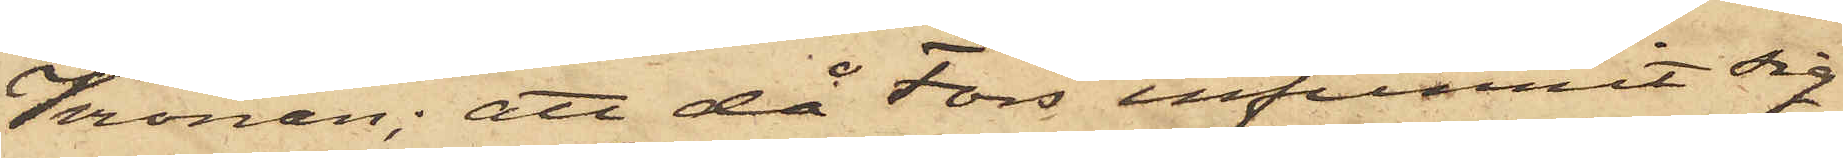Kronan; att då Fors infunnit sig
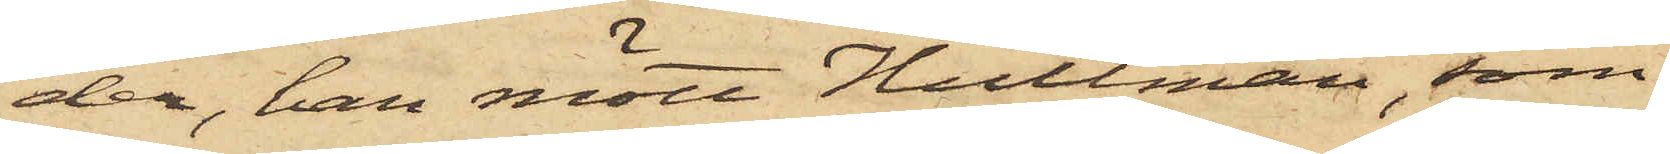der, han mött Hultman, som
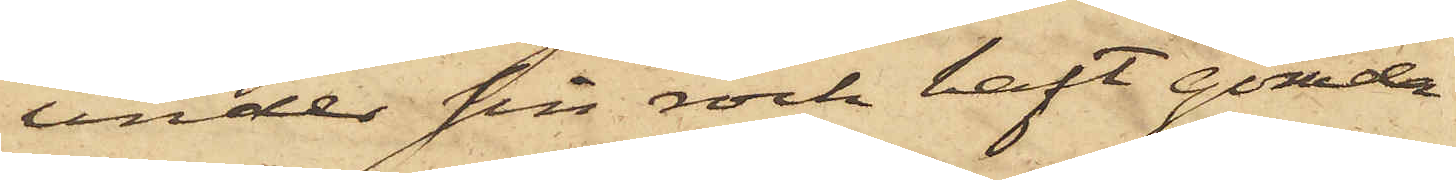under sin rock haft gömda
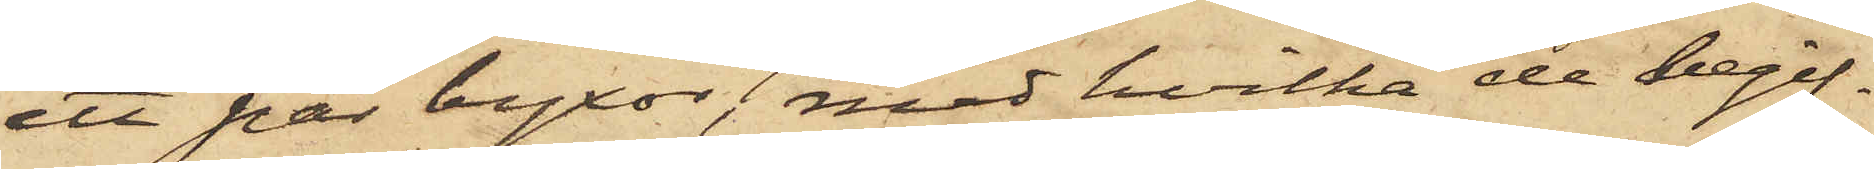ett par byxor, med hvilka de begif¬
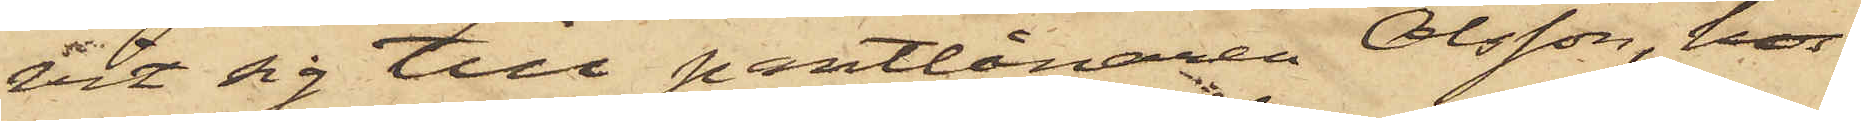vit sig till pantlånaren Olsson, hos
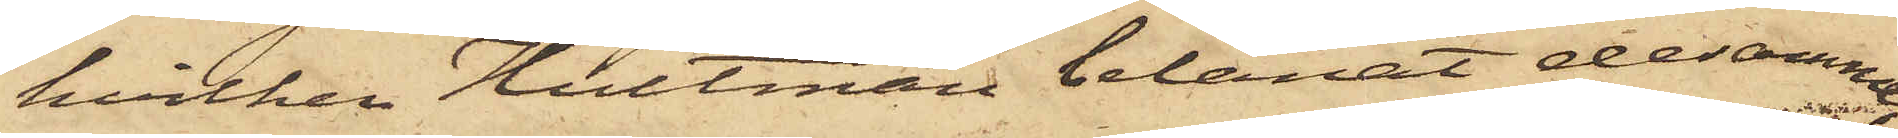hvilken Hultman belånat desamme,
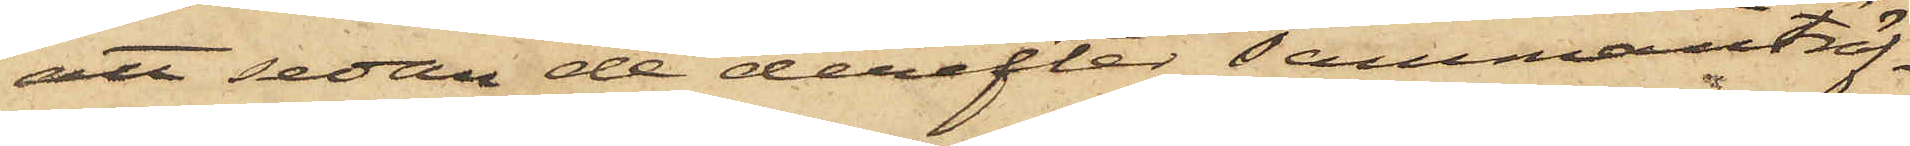att sedan de derefter sammanträf¬
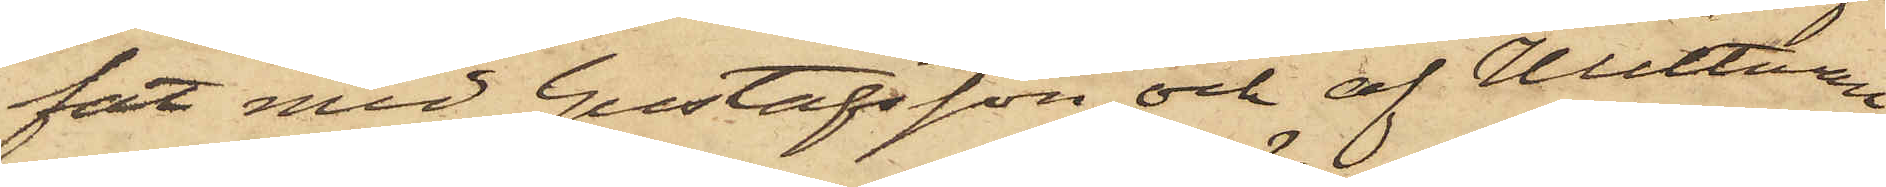fat med Gustafsson och af Hultman
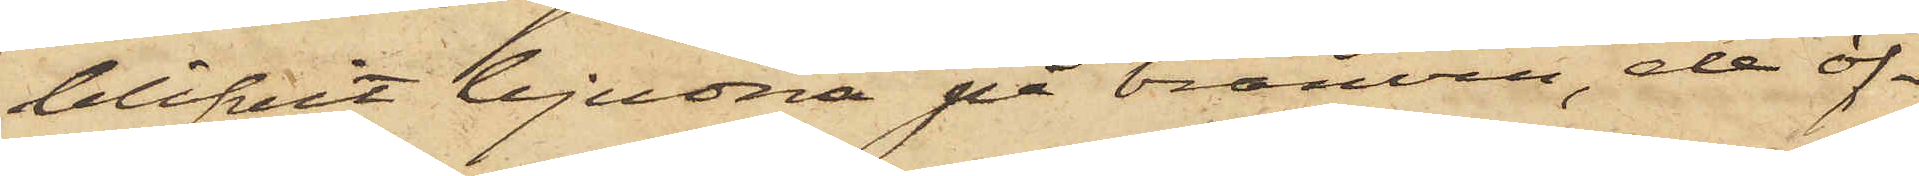blifvit bjudna på bränvin, de öf¬
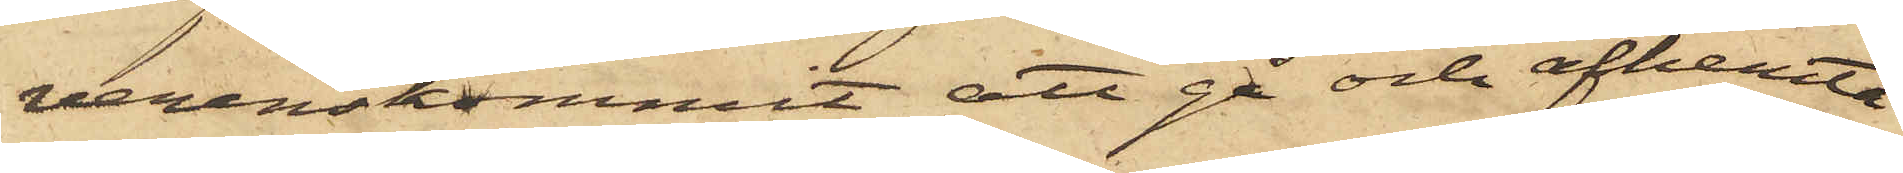verenskommit att gå och afhemta
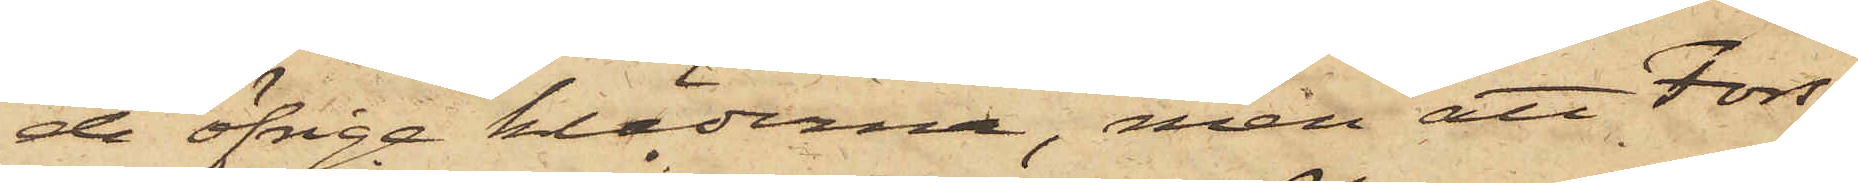de öfrige kläderna, men att Fors,
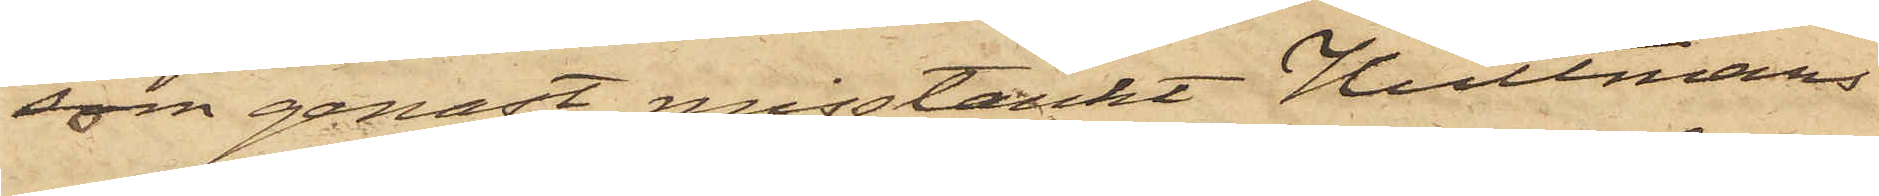som genast misstänkt Hultmans
